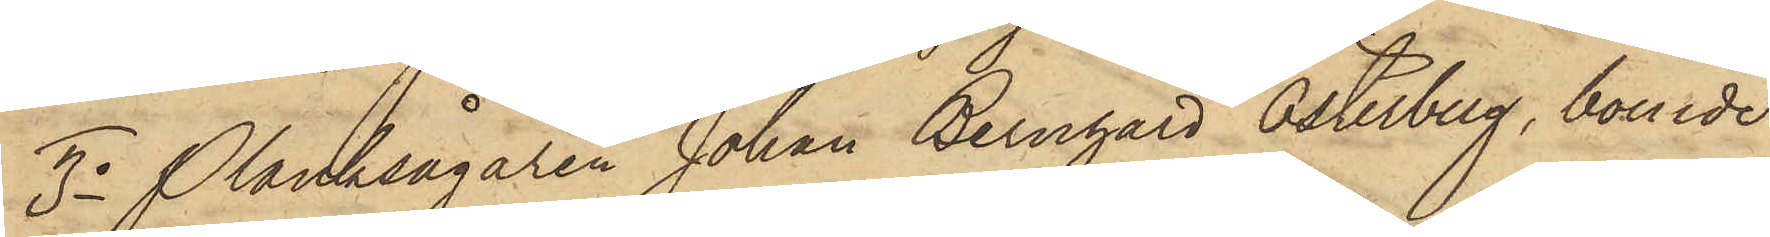3o Planksågaren Johan Bernhard Österberg, boende
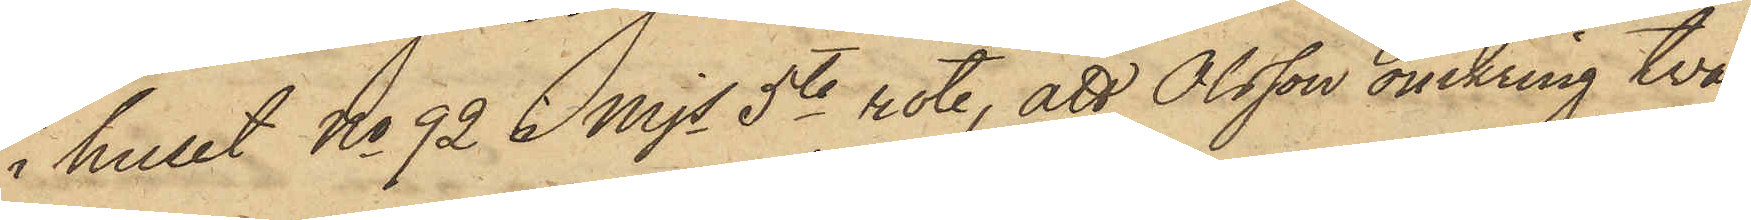i huset No 92 i Mjs 5te rote, att Olsson omkring två
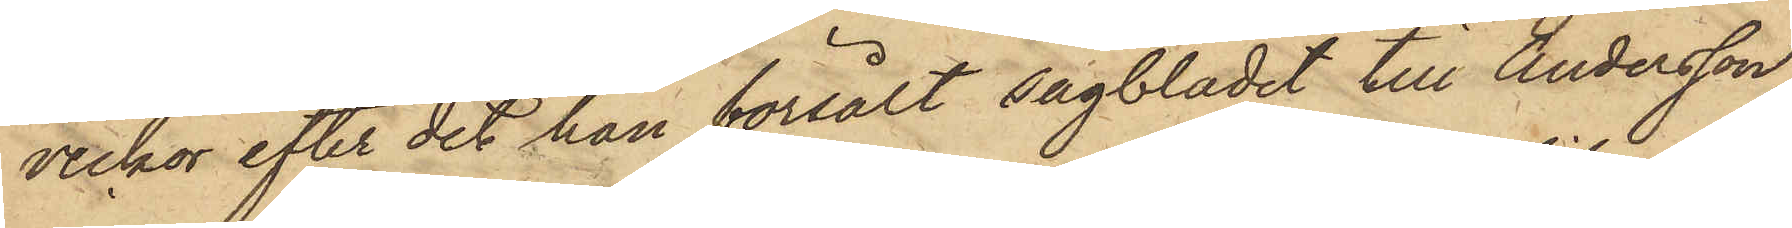veckor efter det han försålt sågbladet till Andersson,
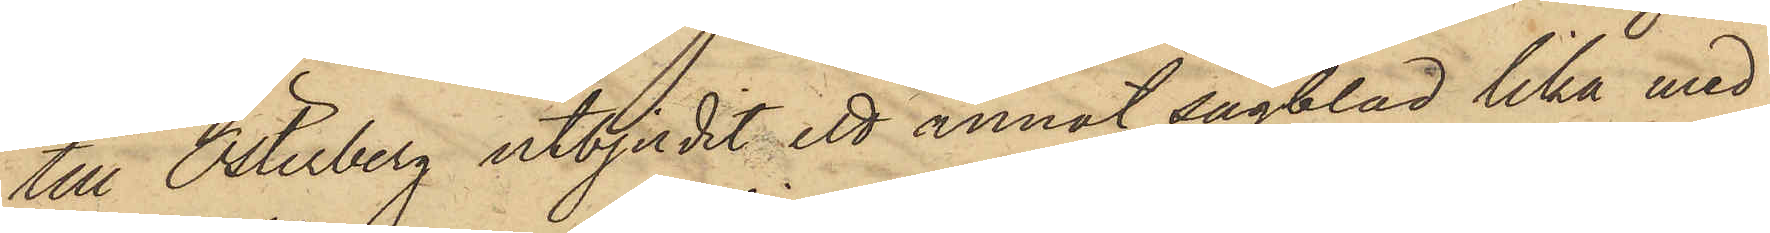till Österberg utbjudit ett annat sågblad lika med
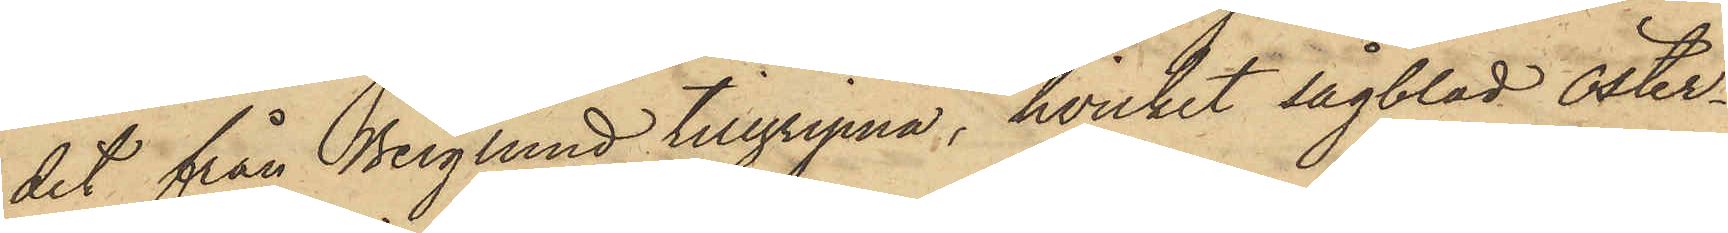det från Berglund tillgripna, hvilket sågblad Öster¬
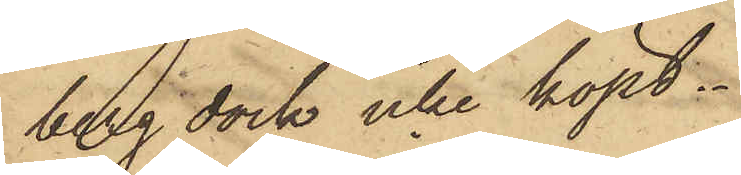berg dock icke köpt.
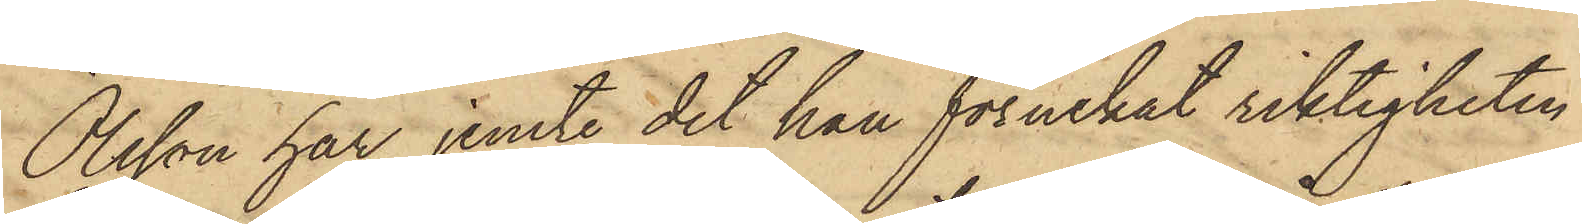Olsson har, jemte det han förnekat riktigheten
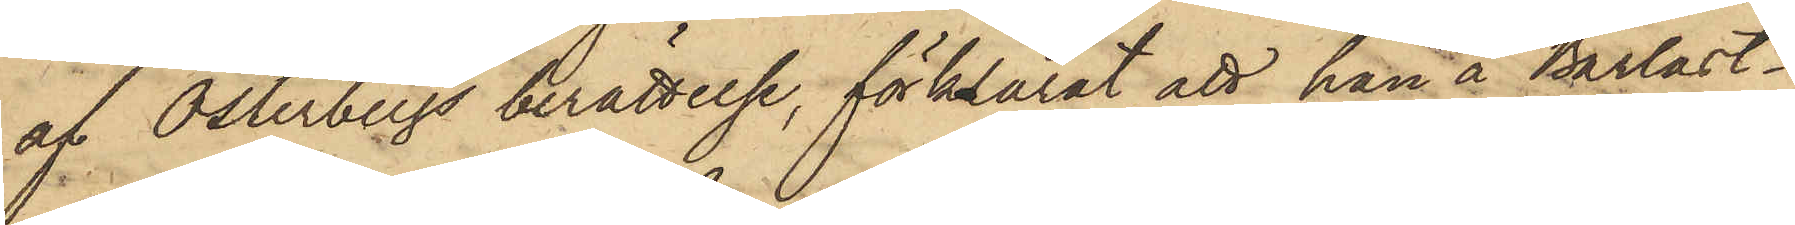af Österbergs berättelse, förklarat att han å Barlast¬
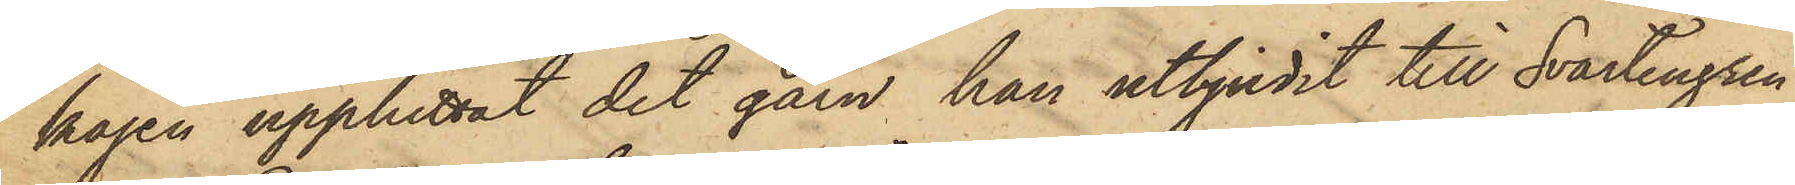kajen upphittat det garn han utbjudit till Svartengren
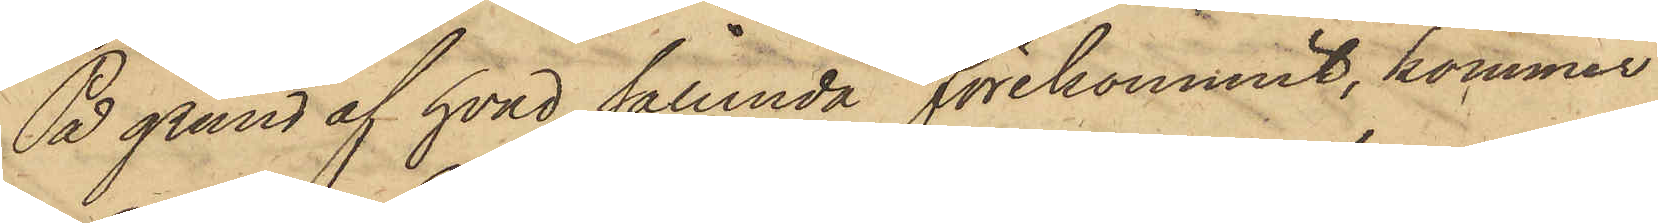På grund af hvad sålunda förekommit, kommer
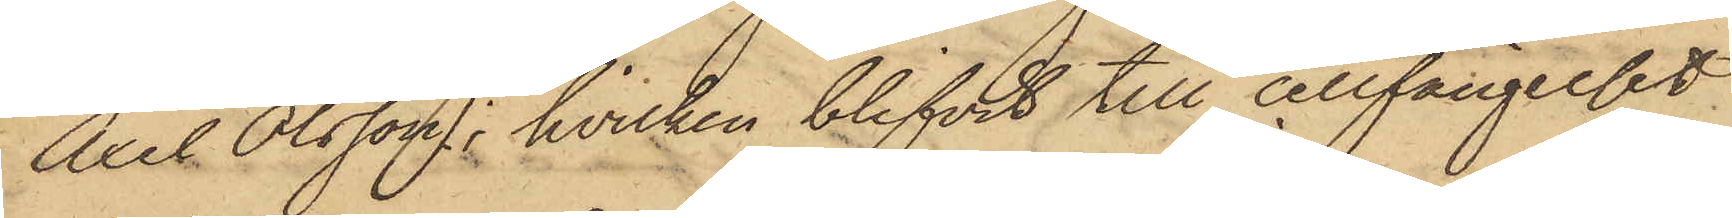Axel Olsson, hvilken blifvit till cellfängelset
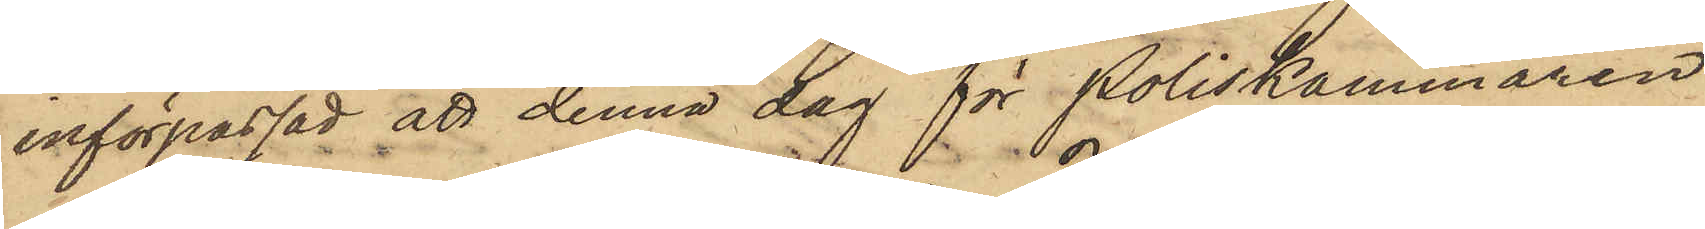införpassad att denna dag för Poliskammaren
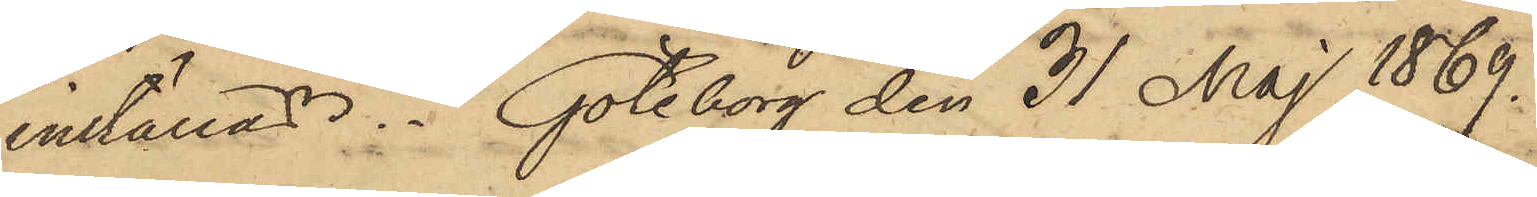inställas. Göteborg den 31 Maj 1869.
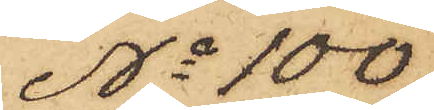No 100
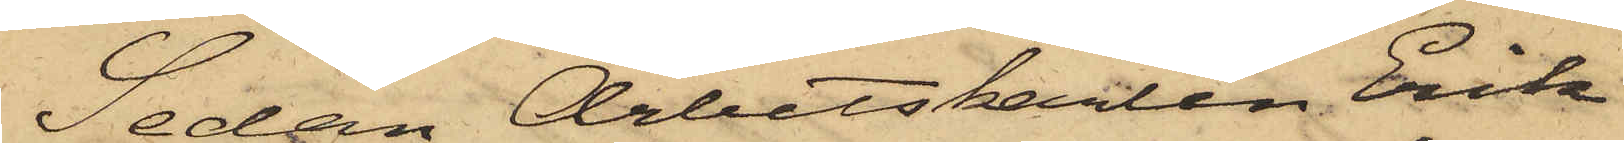Sedan Arbetskarlen Erik
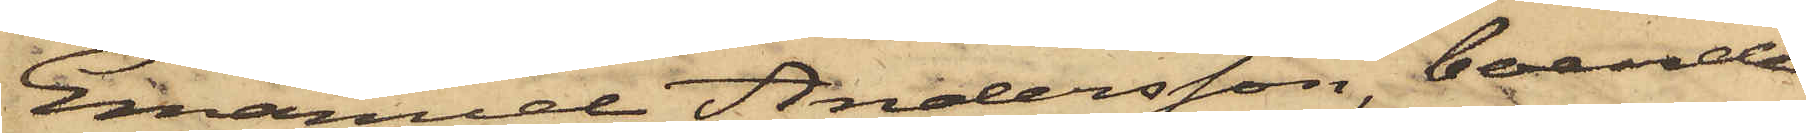Emanuel Andersson, boende
